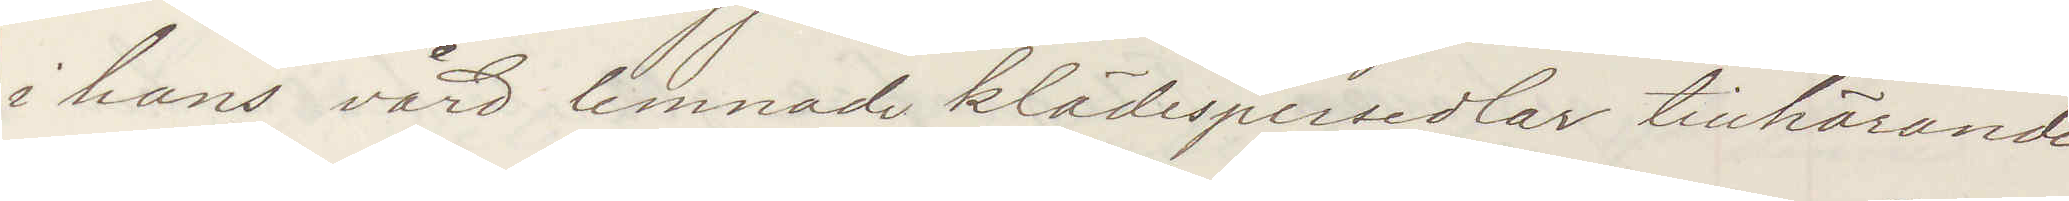i hans vård lemnade klädespersedlar tillhörande
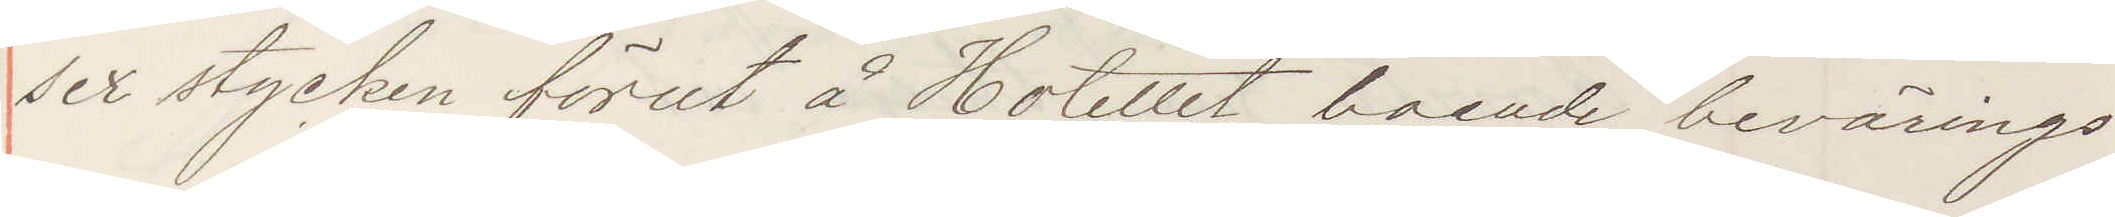sex stycken förut å Hotellet boende bevärings¬
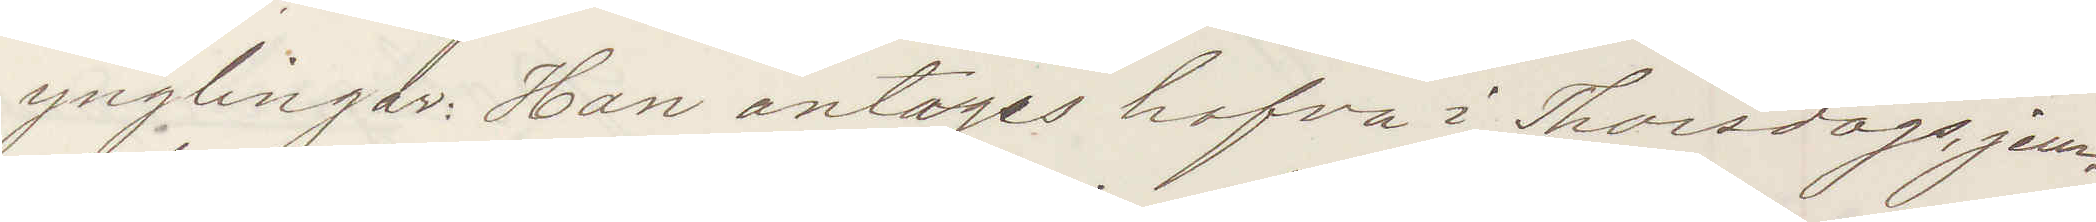ynglingar Han antages hafva i Thorsdgas jem¬
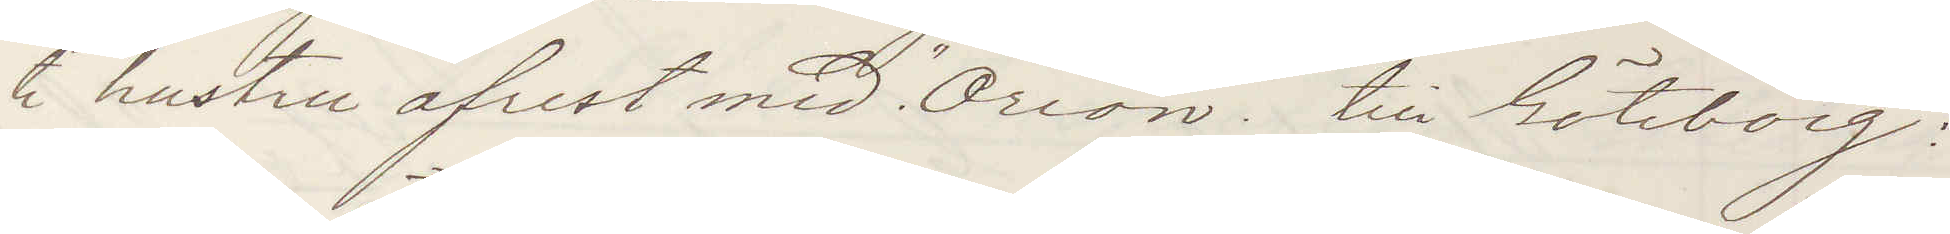te hustru afrest med "Orion" till Göteborg:
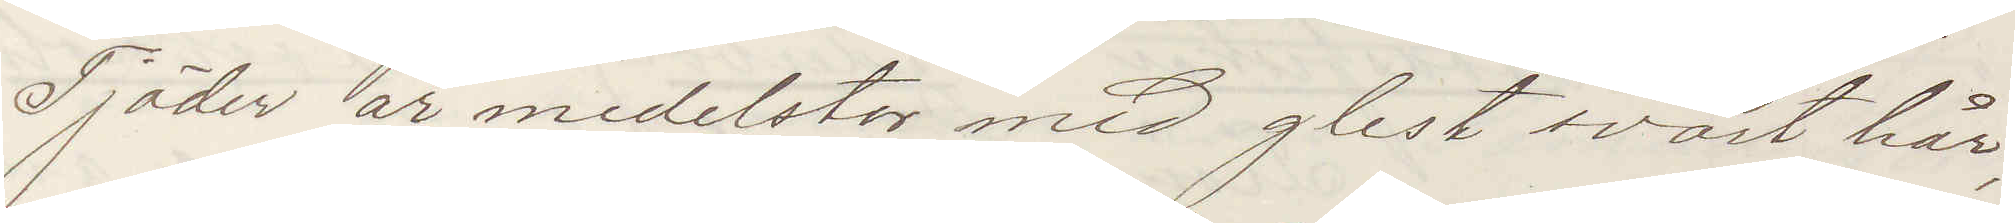Tjäder är medelstor med glest svart hår,
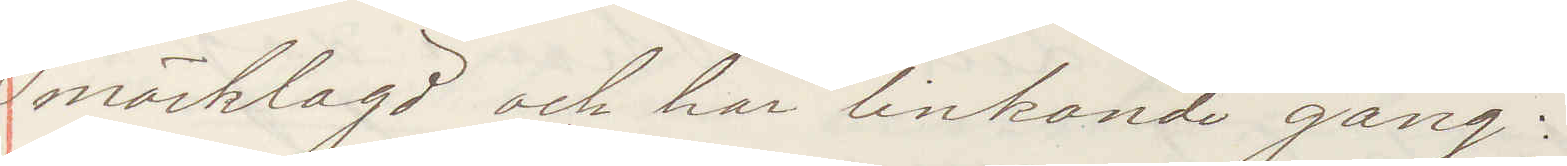mörklagd och har linkande gång:
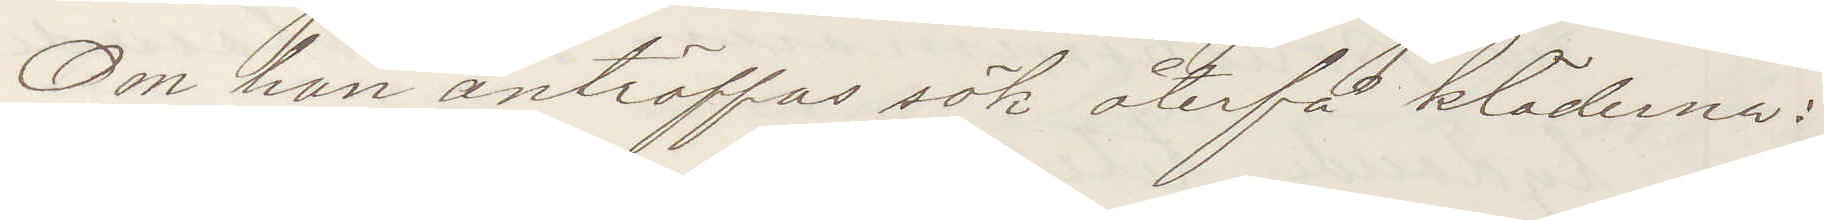Om han anträffas sök återfå kläderna:
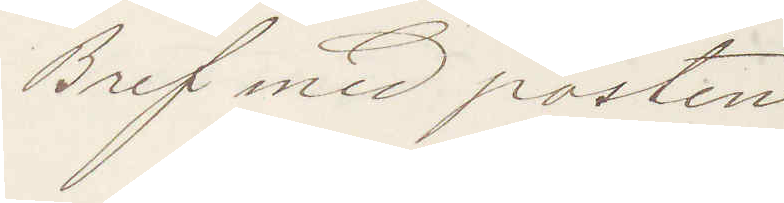Bref med posten
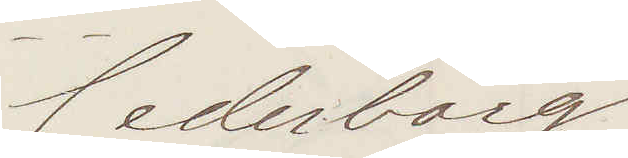Cederborg.
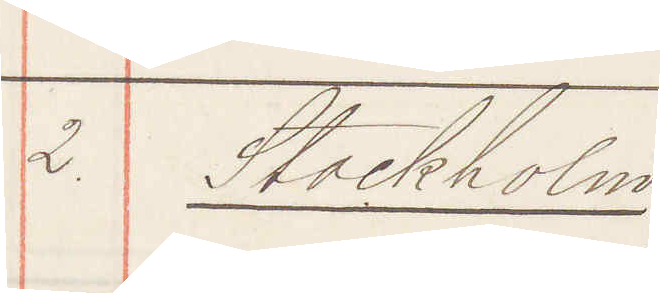2. Stockholm
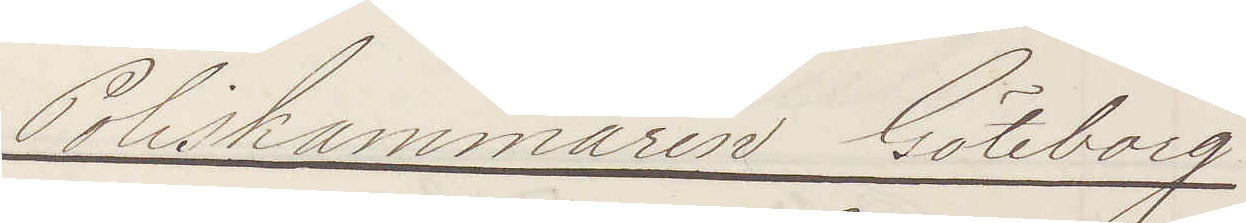Poliskammaren Göteborg
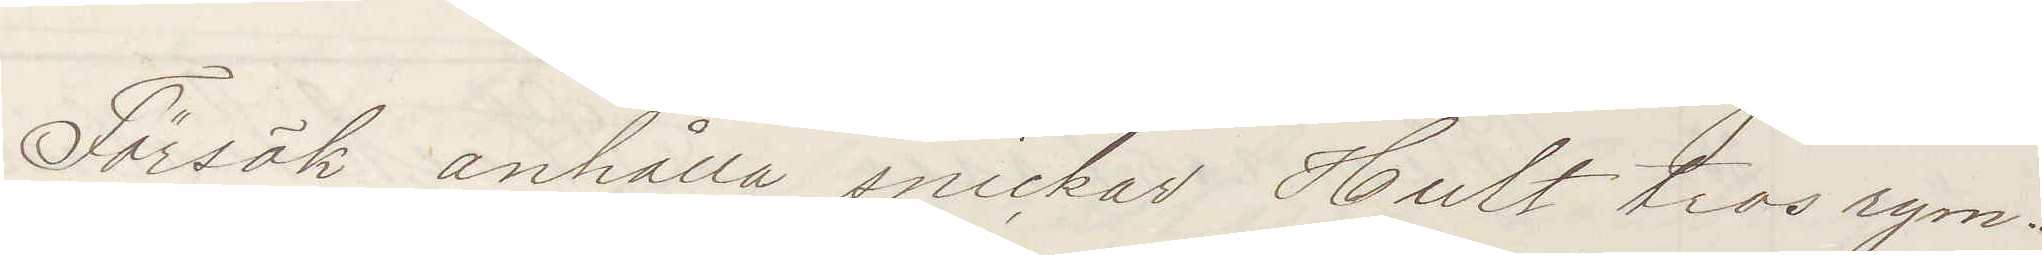Försök anhålla snickar Hult tros rym¬
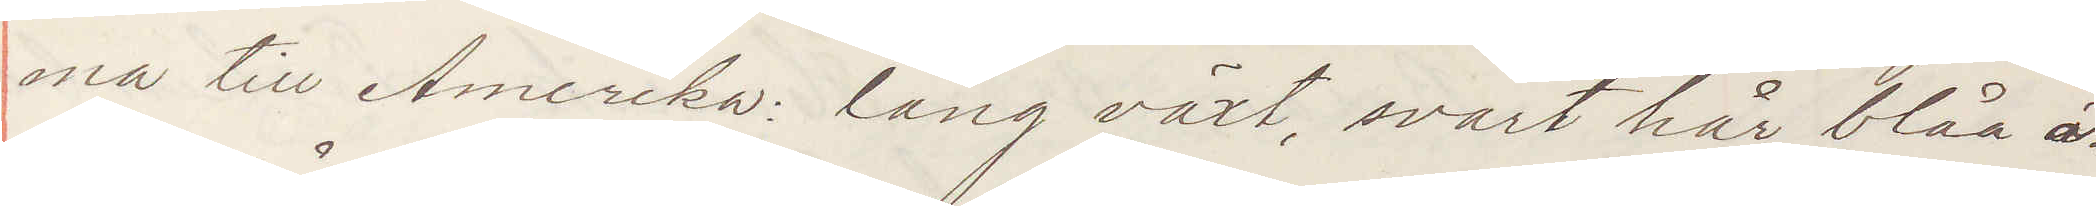ma till Amerika: lång växt, svart hår, blåa ö¬
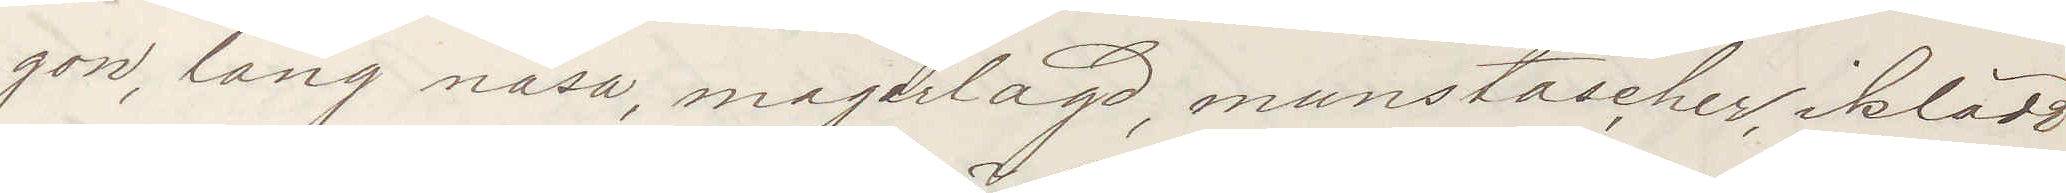gon, lång näsa, magerlagd, munstascher, iklädd
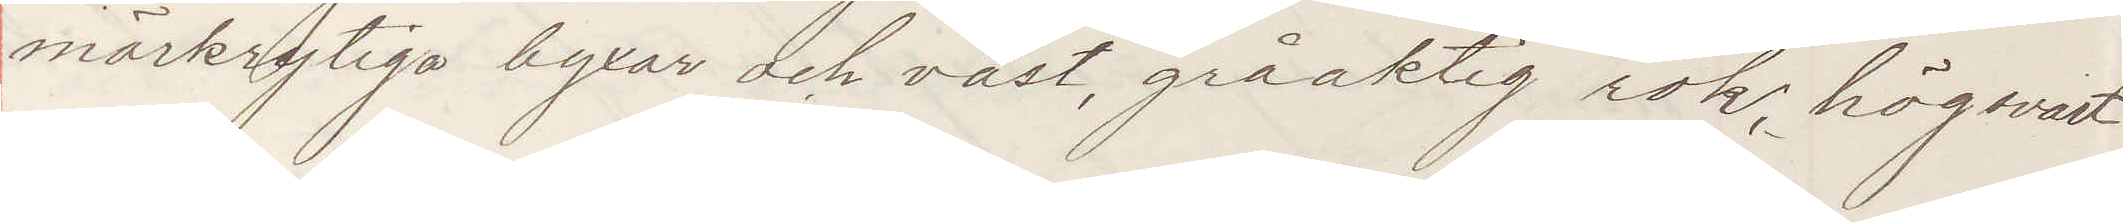mörkrytiga byxor och väst, gråaktigt rok, hög svart
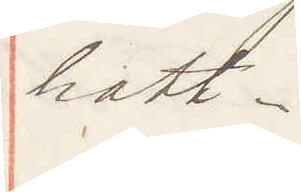hatt.
